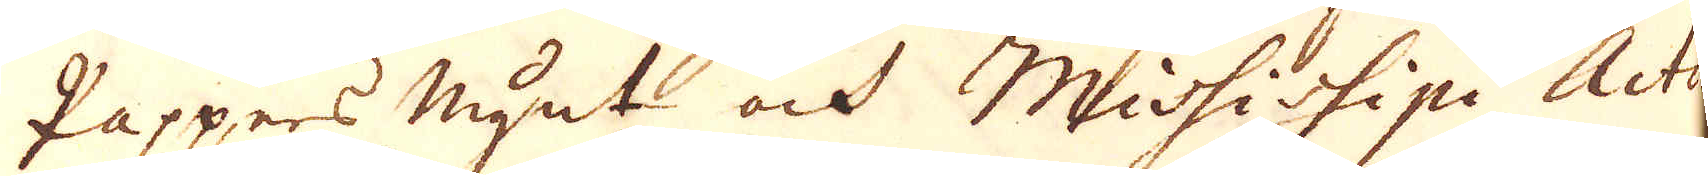Pappers mynt och Mississipi Actio-
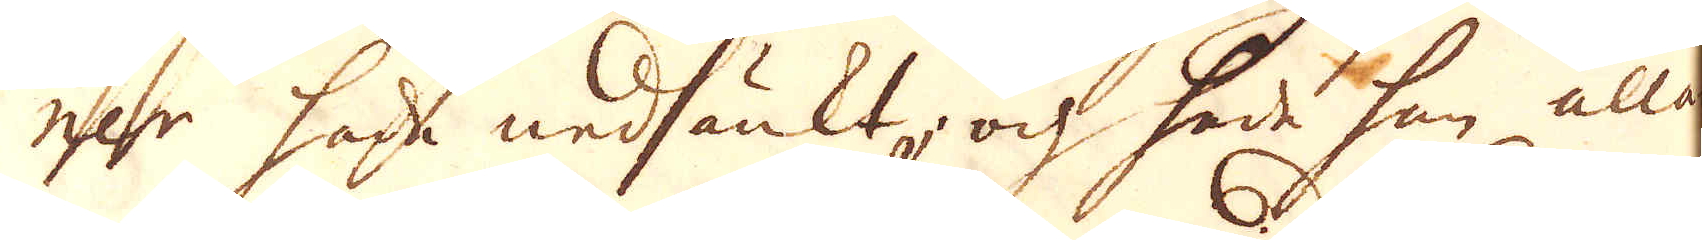nar hade nedsänkt, och hade han alla
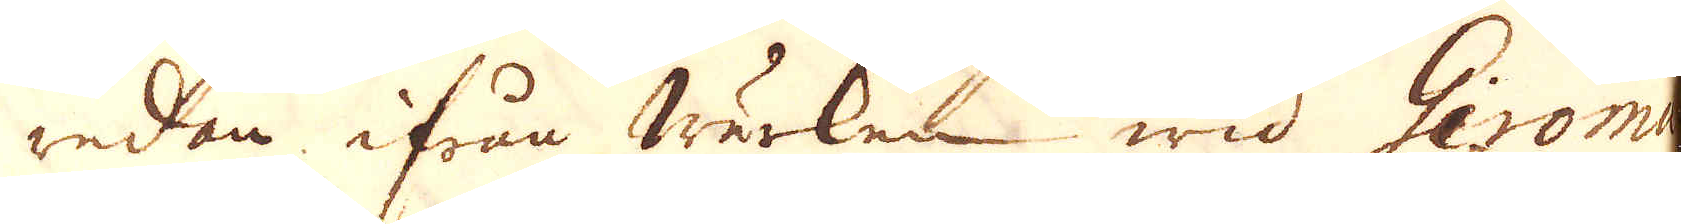redan ifrån werken wid Giroma-
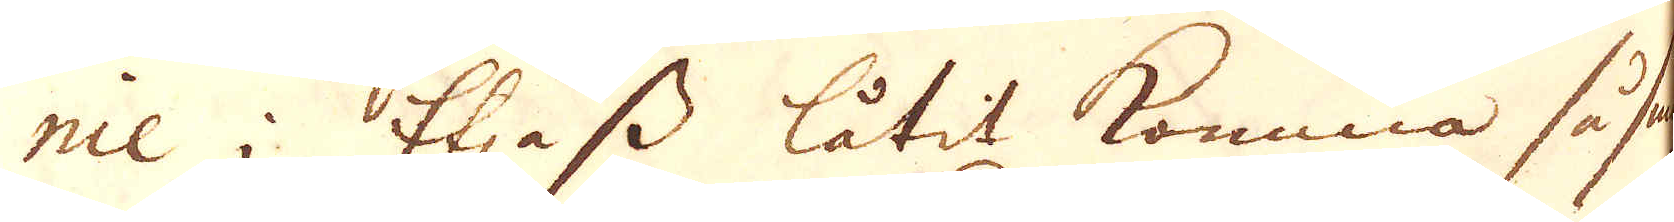nie i Elsass låtit komma så smäl-
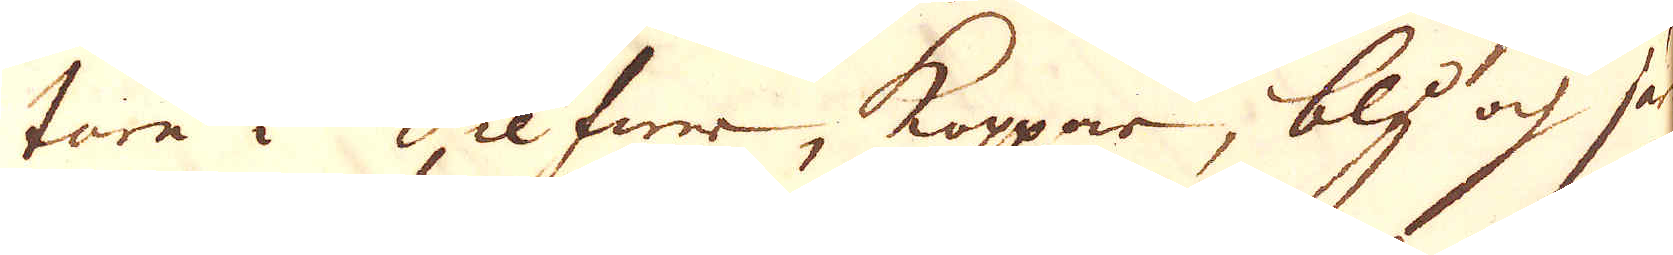tare i Silfwer, Koppar, bly och Jern
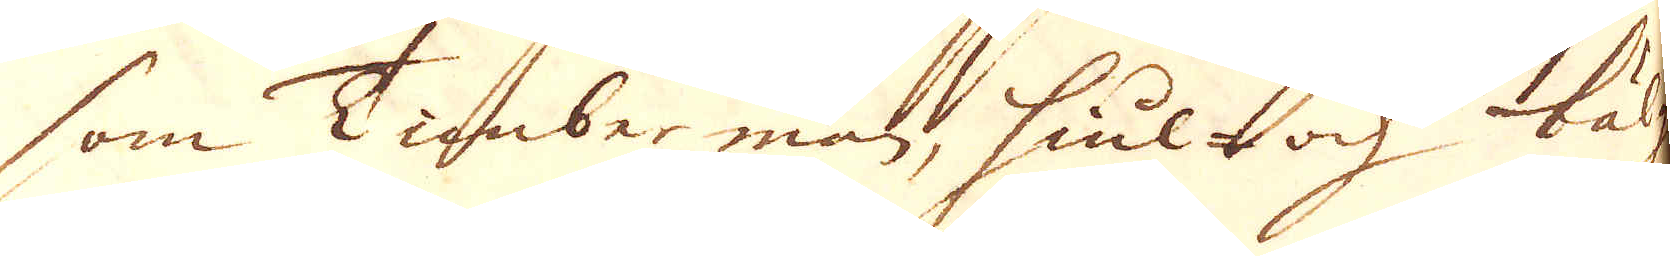som Timber män, hiul- och bälg
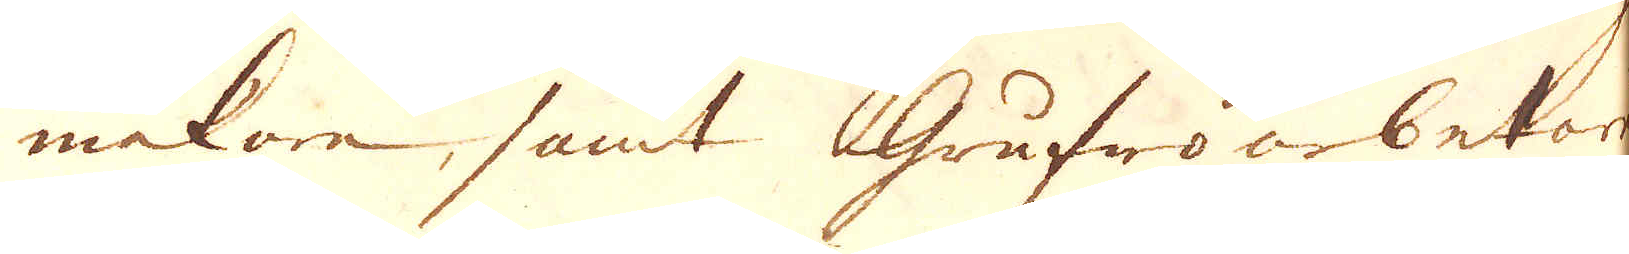makare, samt Grufwoarbetare
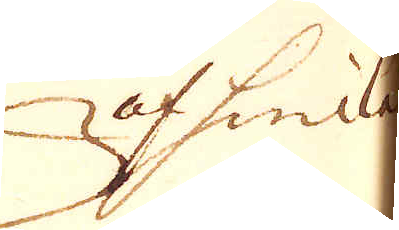af hwilka
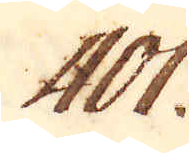401.
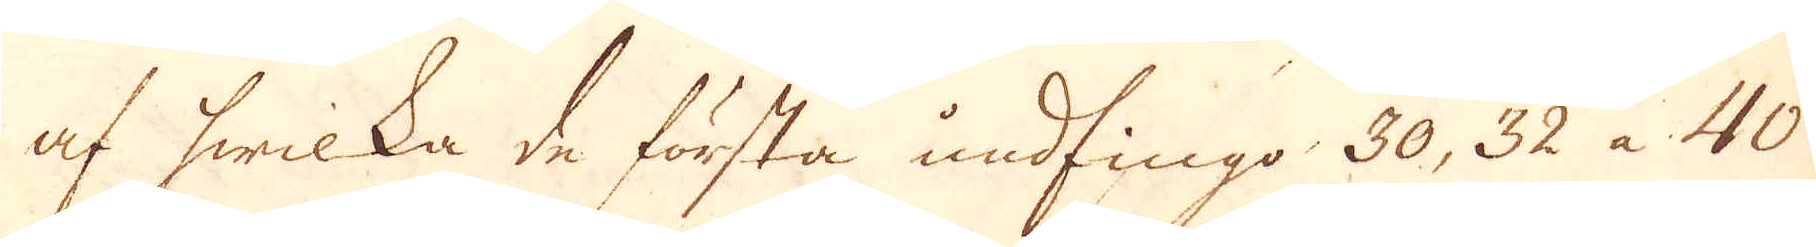af hwilka de första undfingo 30, 32 a 40
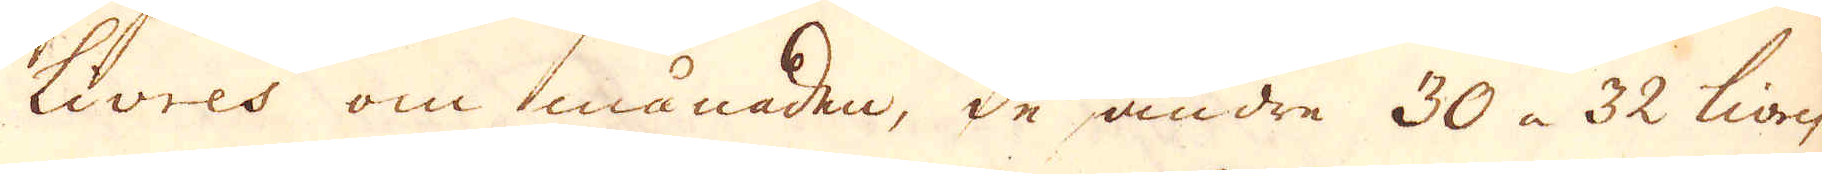Livres om månaden, de andre 30 a 32 livres
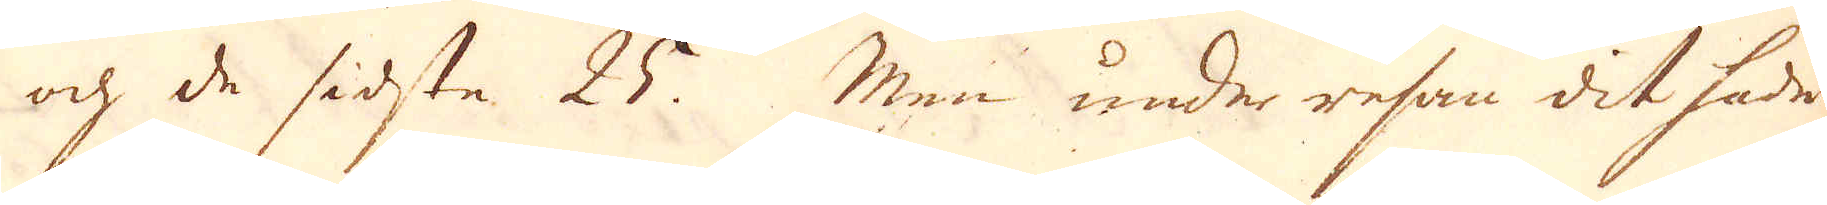och de sidsta 25. Men under resan dit hade
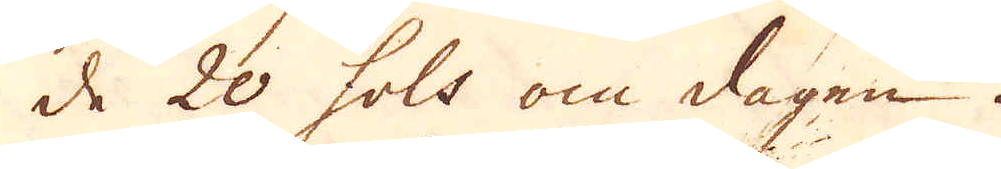de 20 sols om dagen.
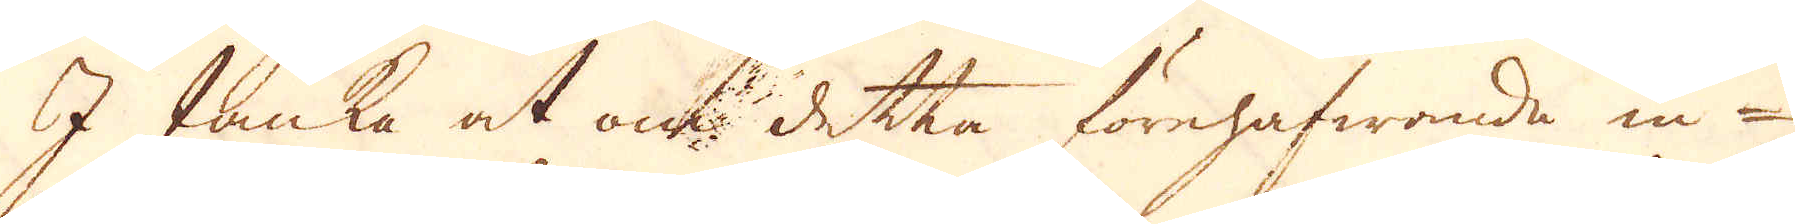I tanka at om detta förehafwande in-
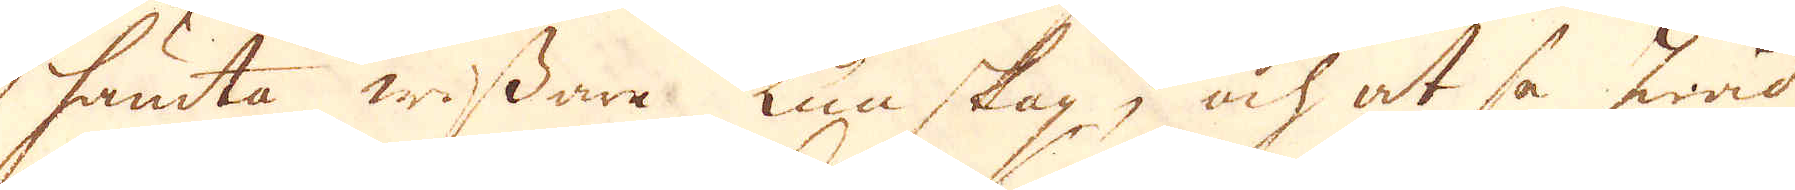hämta wissare kunskap, och at sa hwad
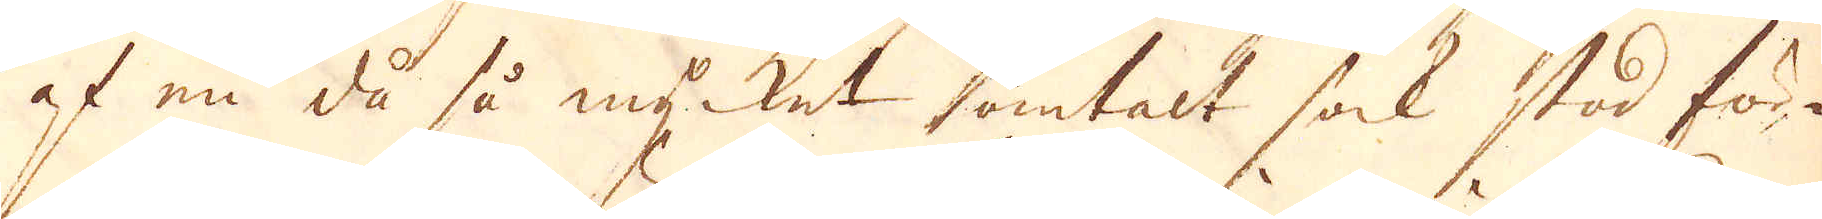af en då så mycket omtalt sak stod för-
